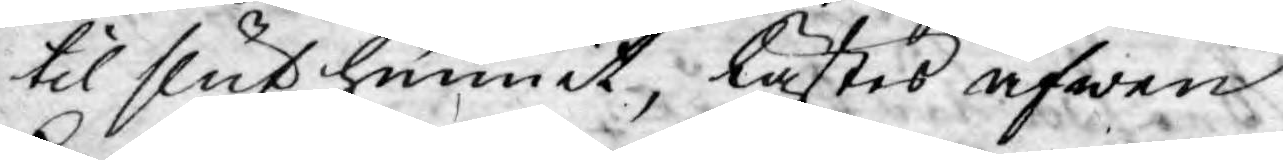til slut hunnit, lästes äfwen
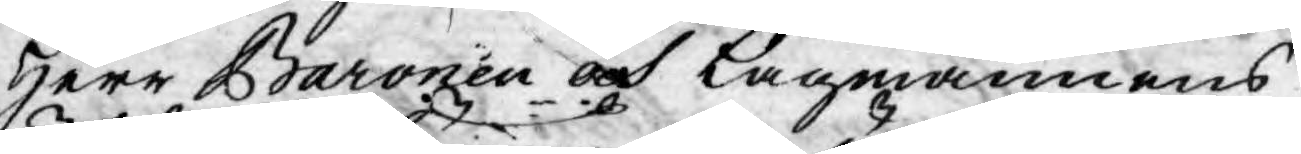Herr Baronen och Lagmannens
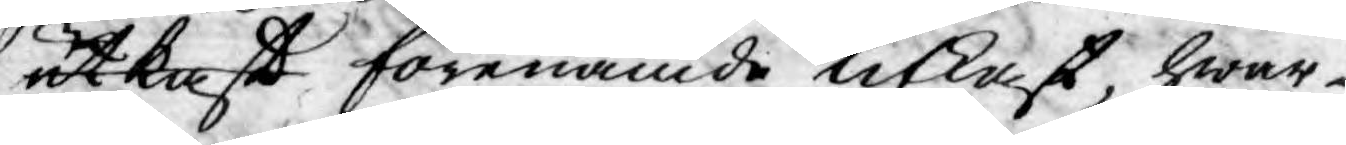utkast förenämde utkast, hwar¬
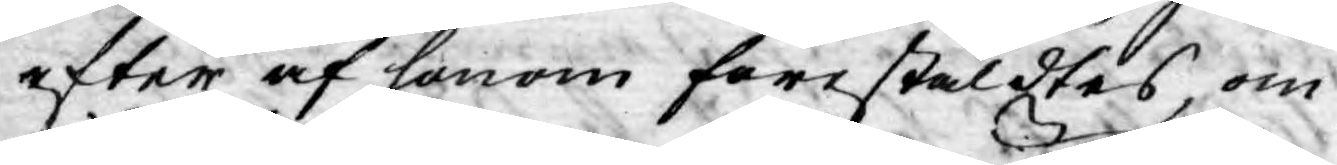efter af honom förestäldtes, om
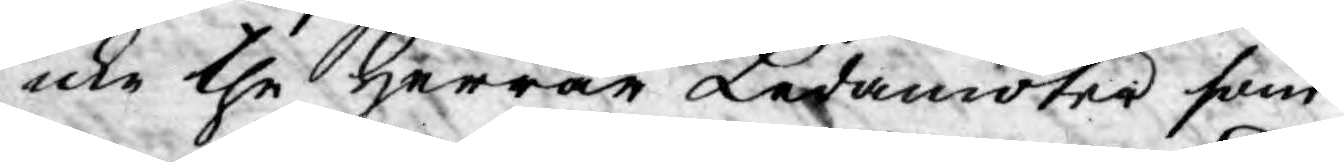icke the Herrar Ledamöter som
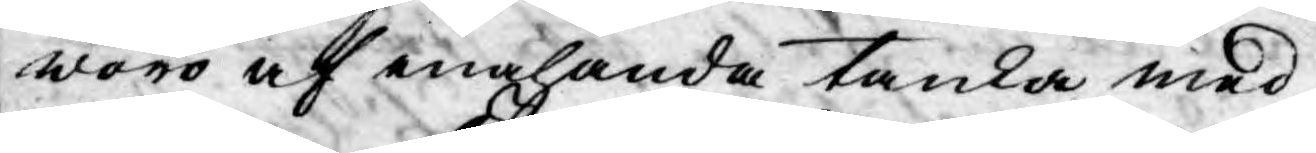woro af enahanda tanka med
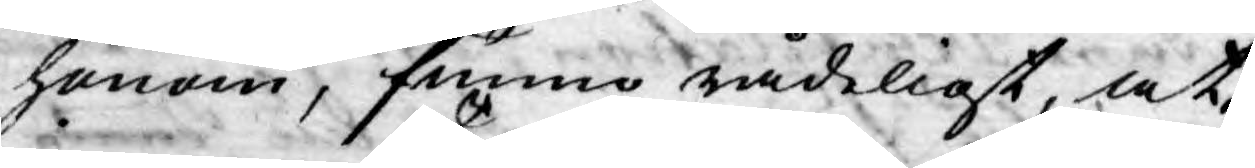honom, funno rådeligt, at,
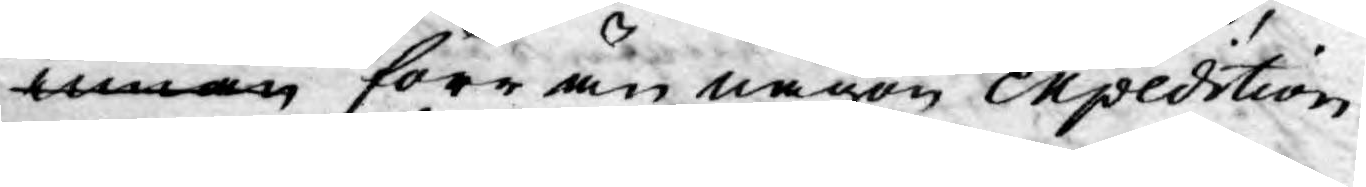innan förr än någon expedition
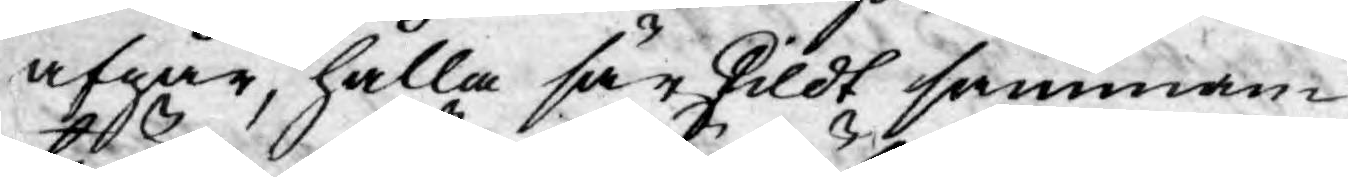afgår, hålla särskildt samman¬
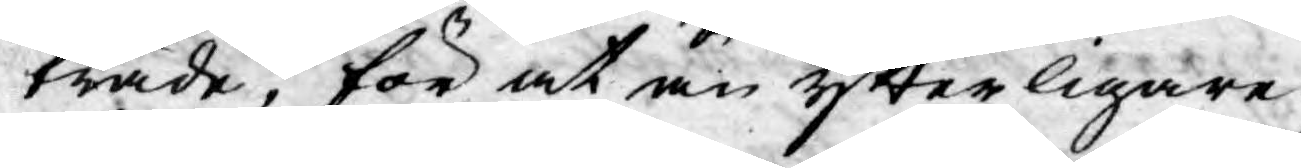träde, för at än ytterligare
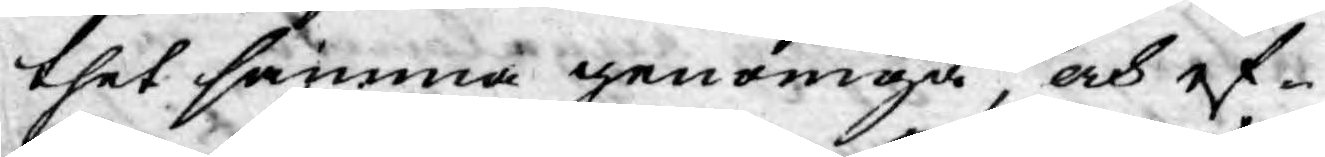thet samma genomgå, och ef¬
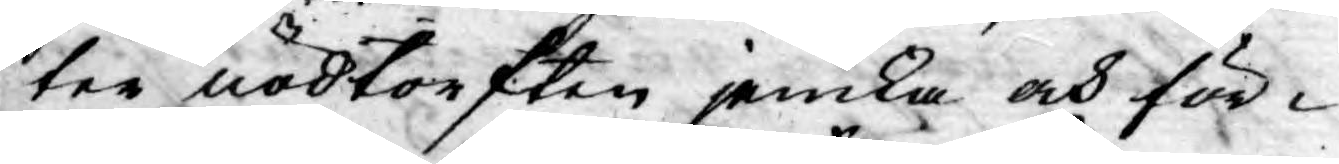ter nödtorften jemka och för¬
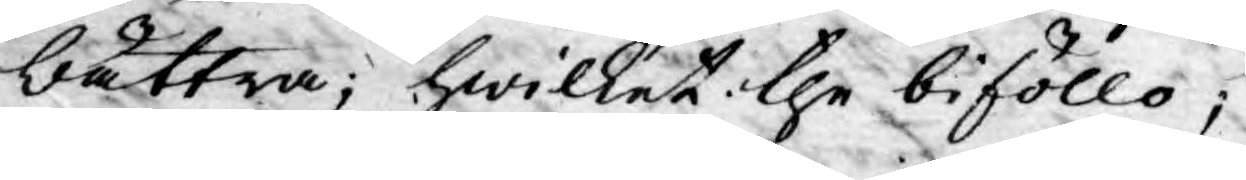bättra; hwilket the biföllo;
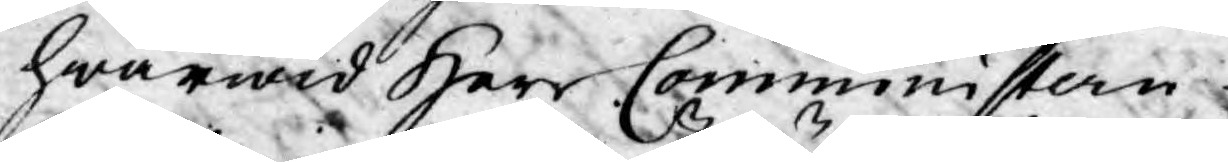hwarwid Herr Comministern
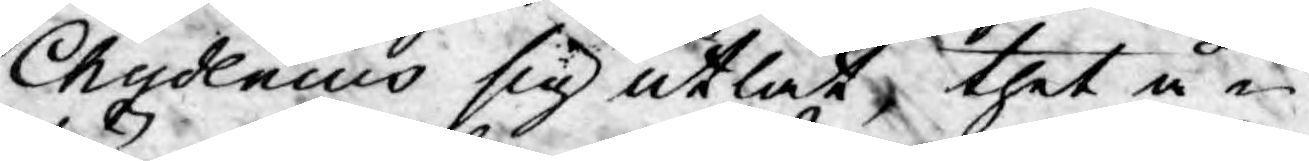Chydenius sig utlät, thet å¬
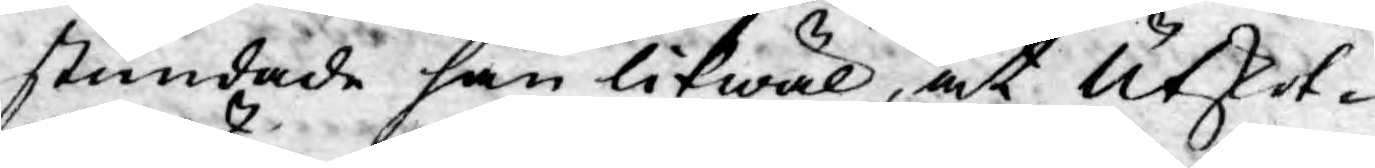stundade han likwäl, at Utskot¬
